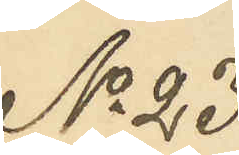No 23
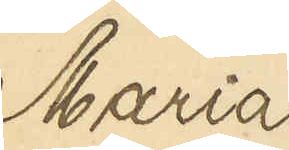Maria
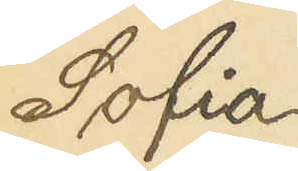Sofia
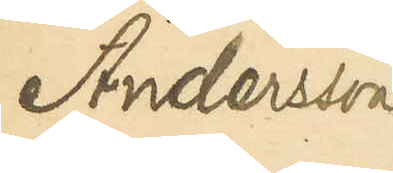Andersson
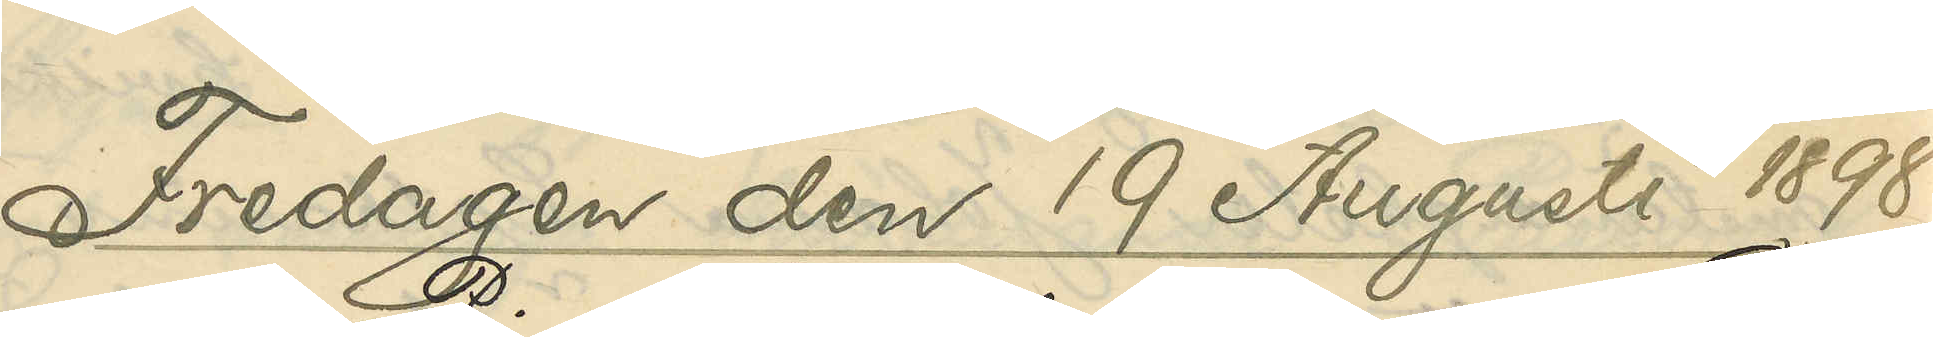Fredagen den 19 Augusti 1898.
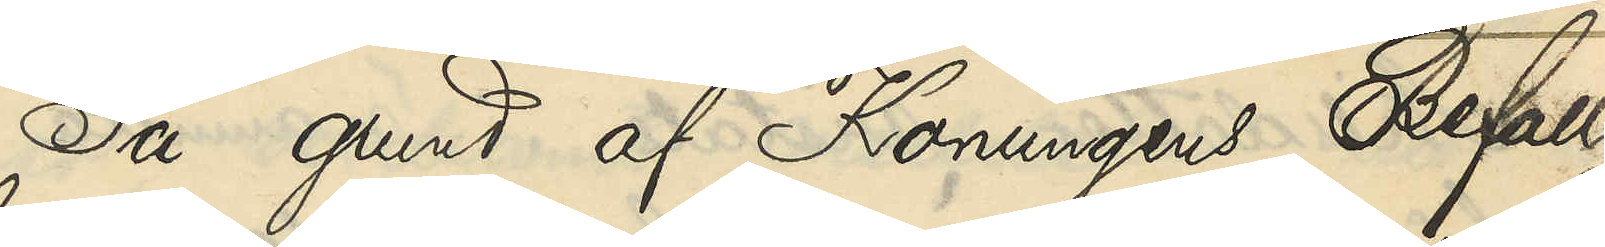På grund af Konungens Befall¬
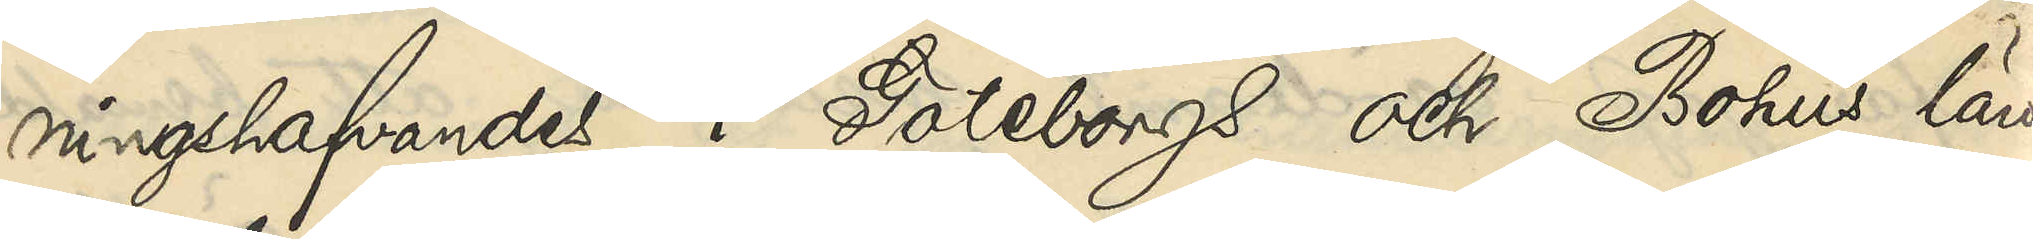ningshafvandes i Göteborgs och Bohus län
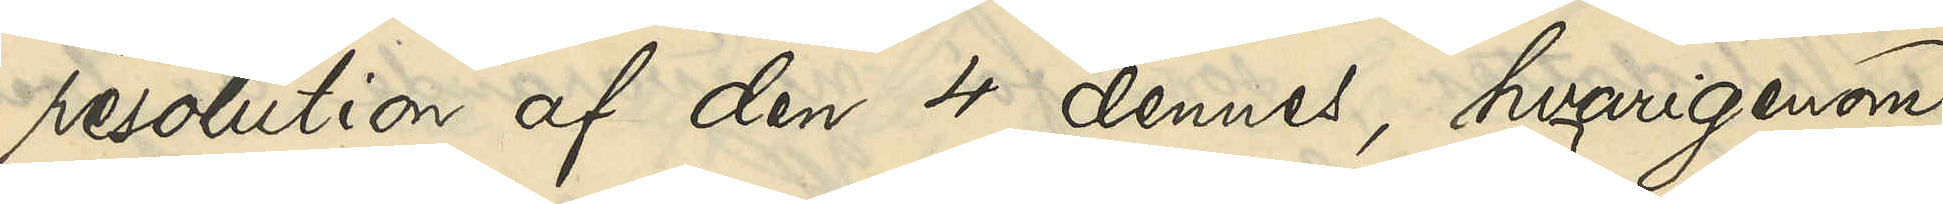resolution af den 4 dennes, hvarigenom
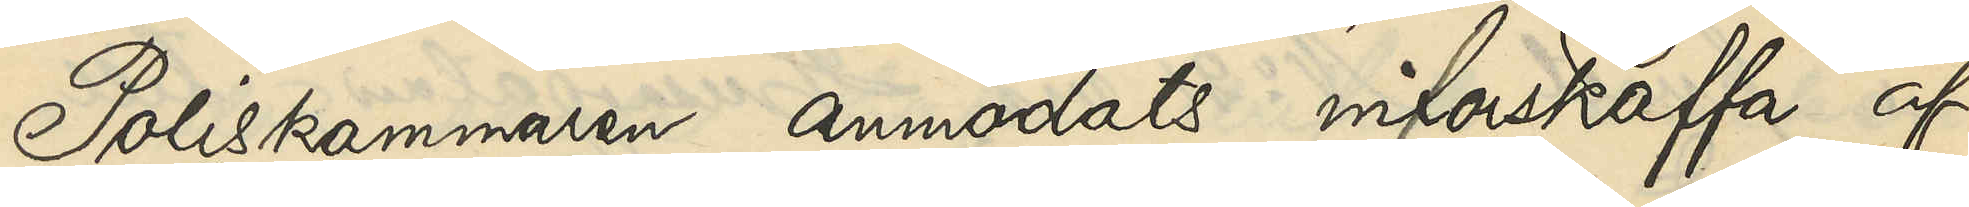Poliskammaren anmodats införskaffa af
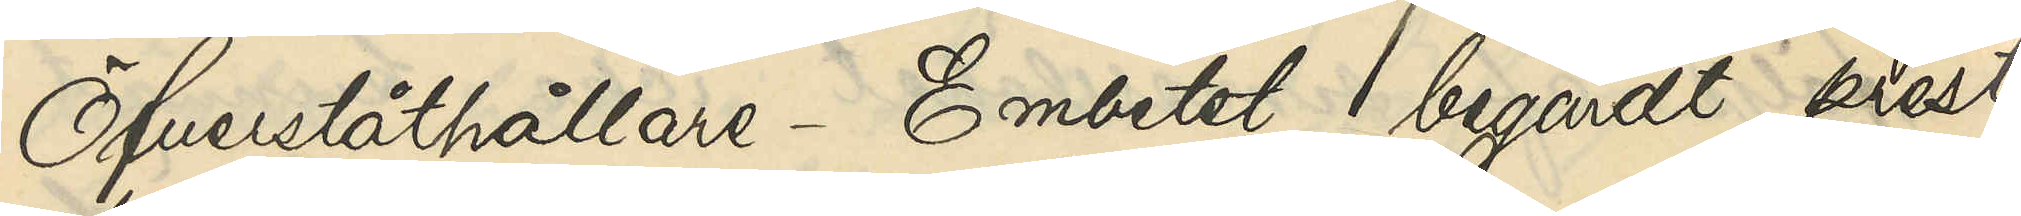Öfverståthållare-Embetet begärdt prest¬
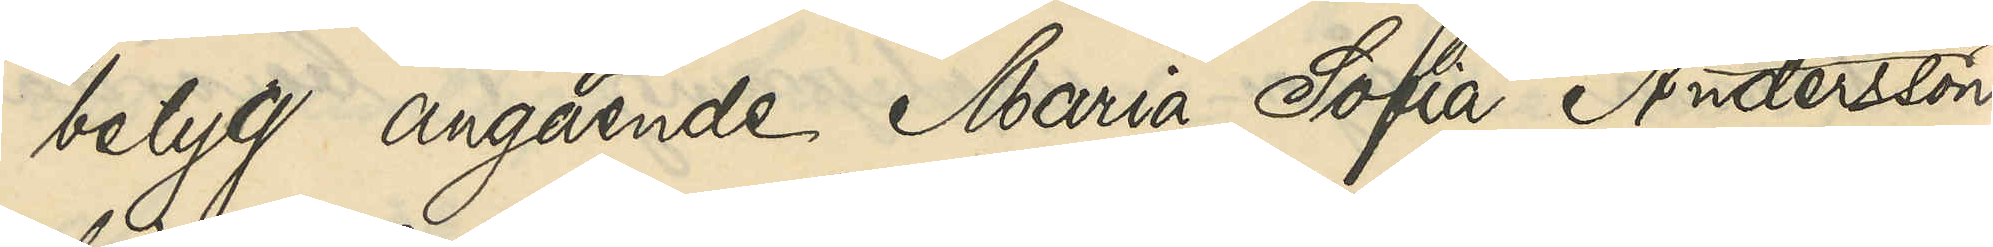betyg angående Maria Sofia Andersson
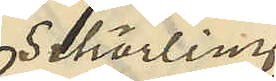Schörling
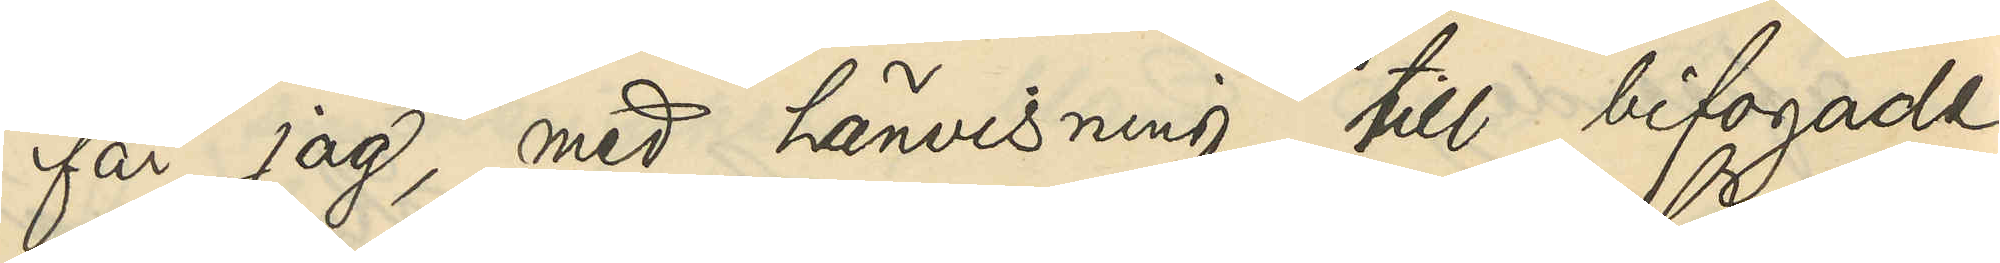får jag, med hänvisning till bifogade
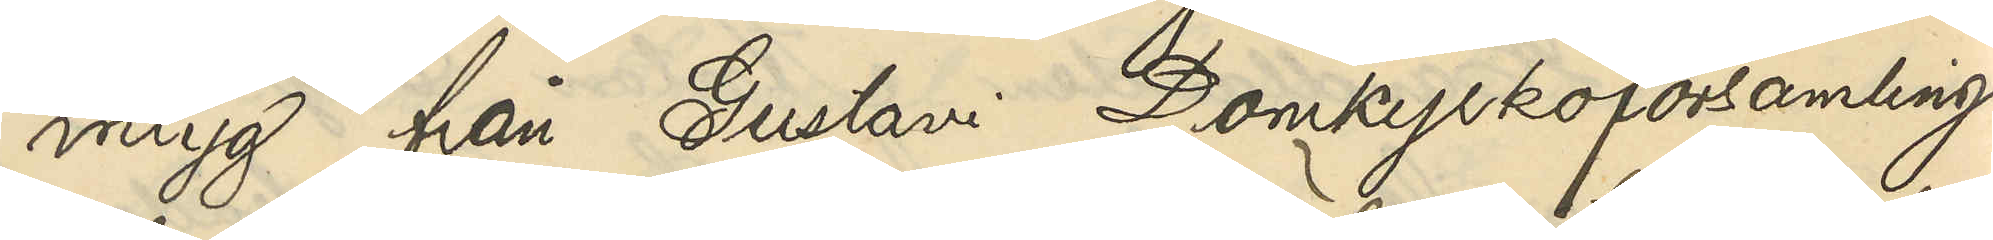intyg från Gustavi Domkyrkoförsamling
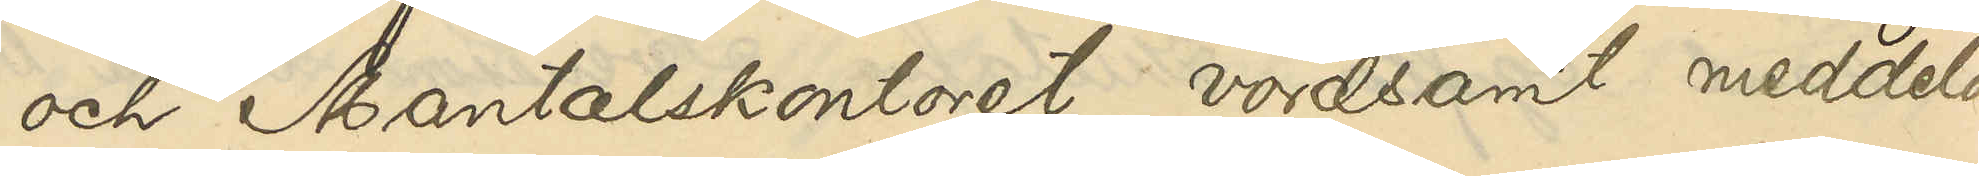och Mantalskontoret vördsamt meddela,
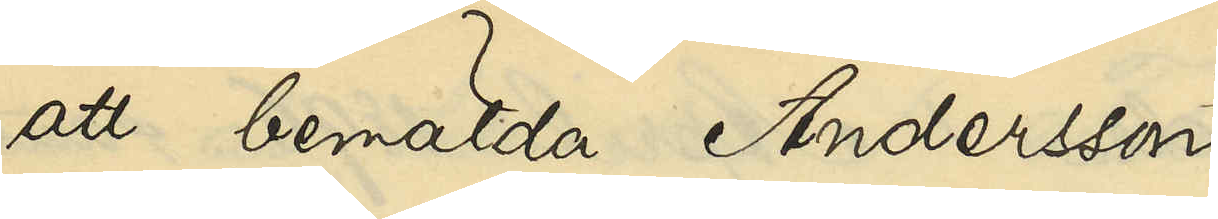att bemälda Andersson
